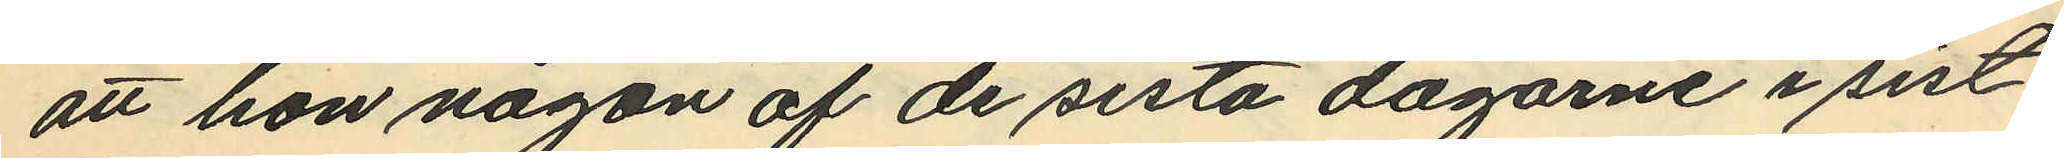att hon någon af de sista dagarne i sist¬
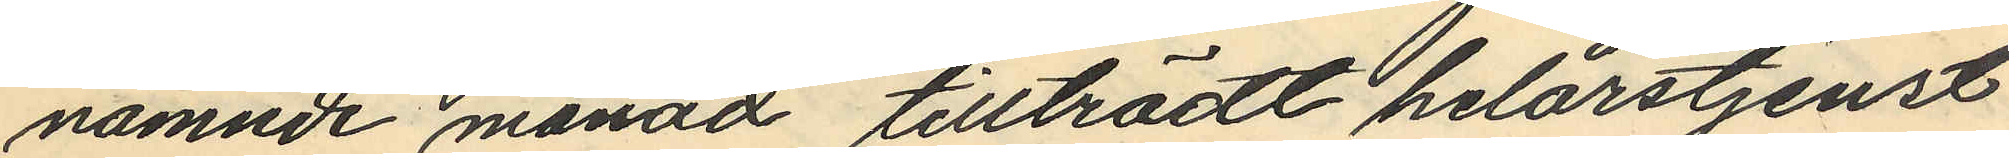nämnde månad tillträdt helårstjenst
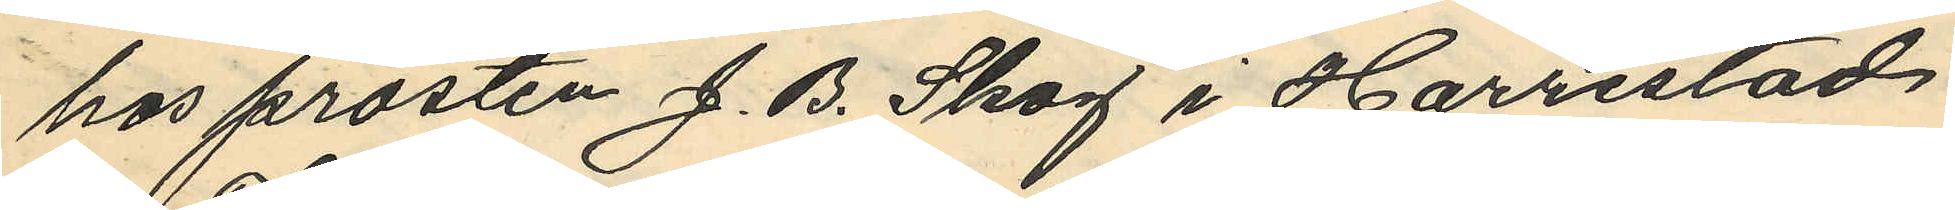hos prosten J. B. Skog i Harrestad
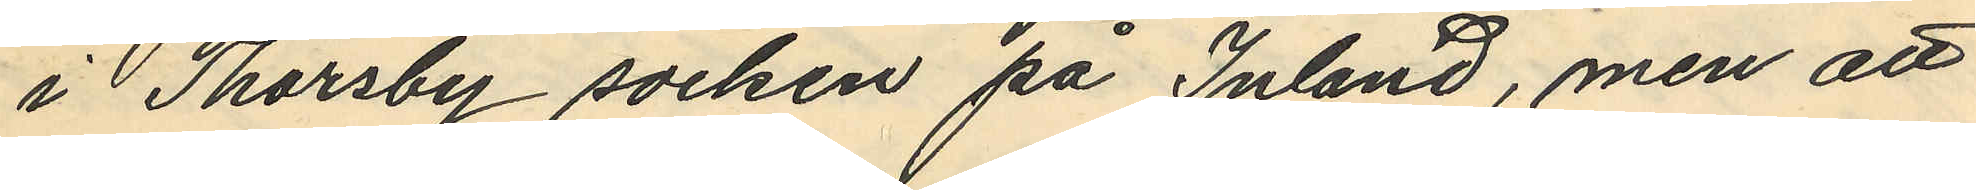i Thorsby socken på Inland, men att
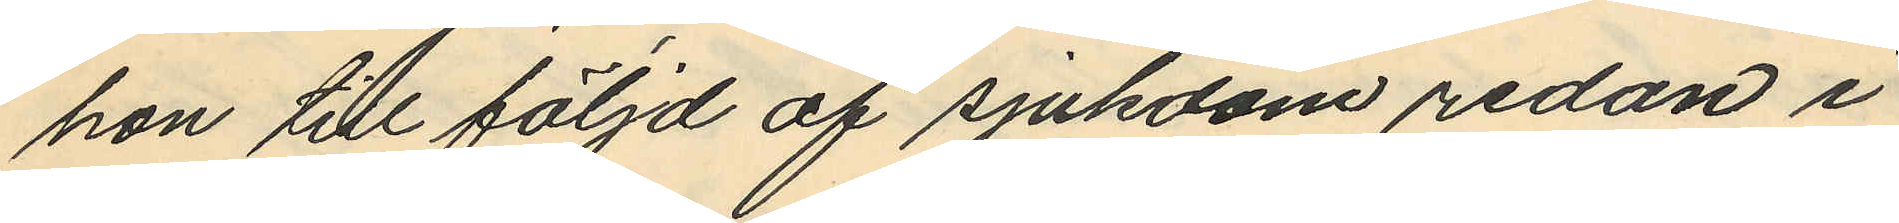hon till följd af sjukdom redan i
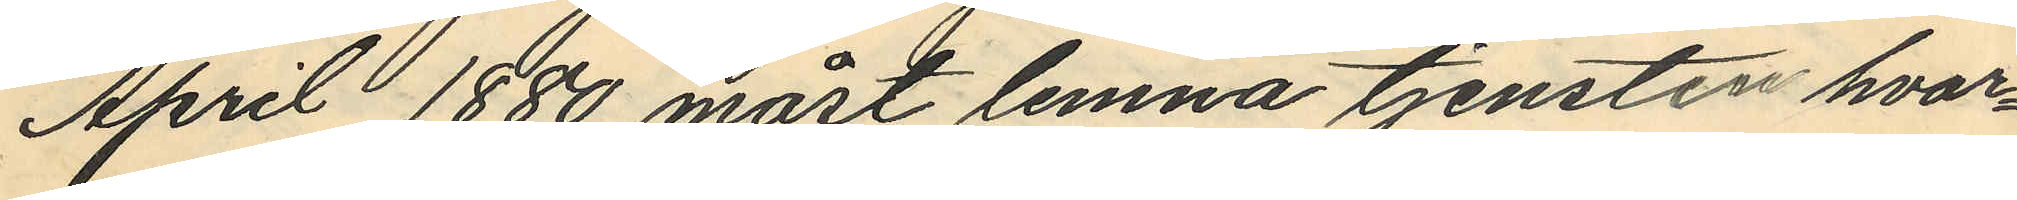April 1880 mart lemna tjensten hvar¬
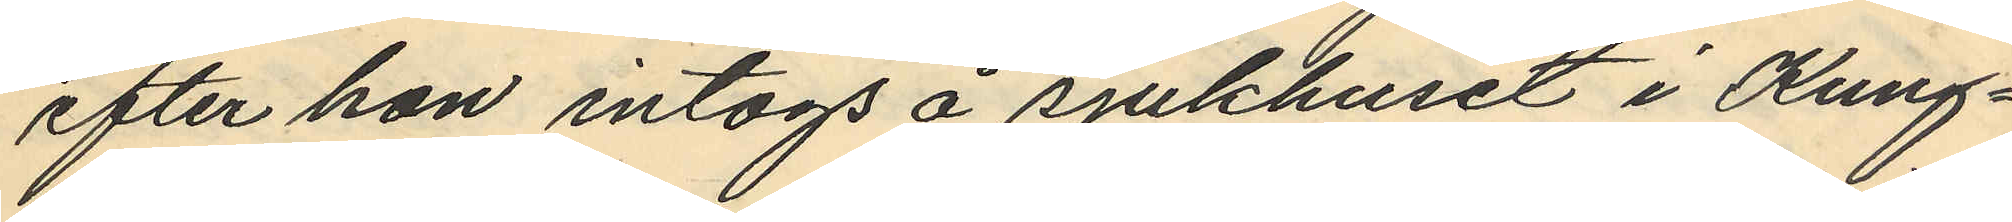efter hon intogs å sjukhuset i Kung¬
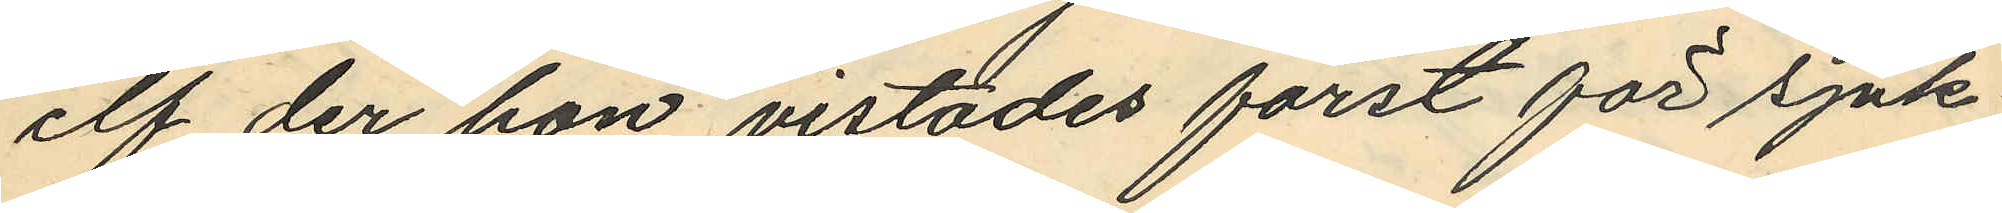elf der hon vistades först för sjuk
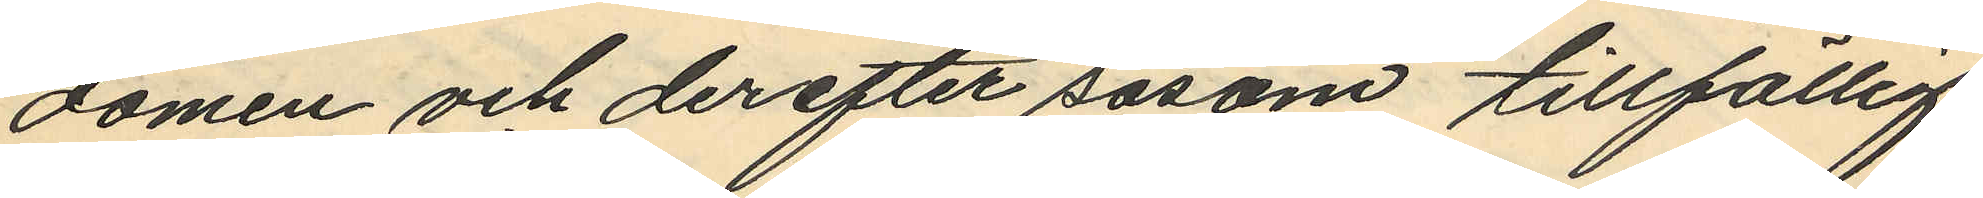domen och derefter såsom tillfällig
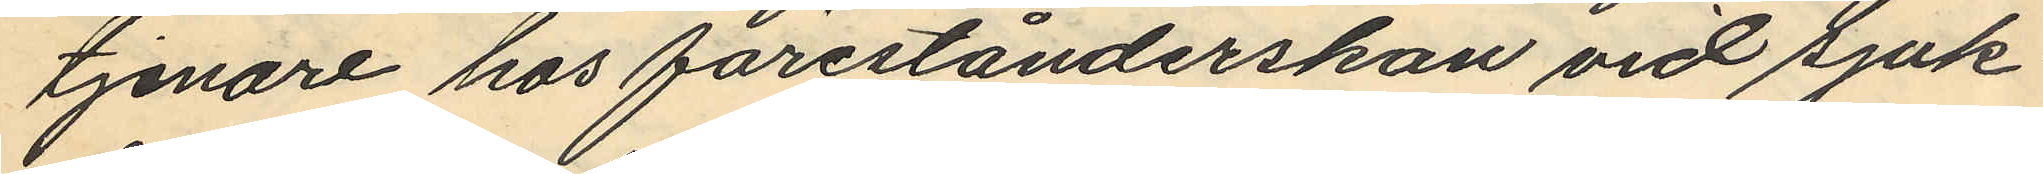tjenare hos förestånderskan vid sjuk
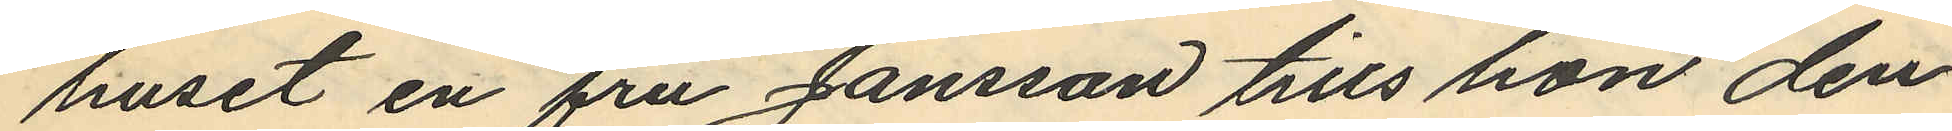huset en fru Jansson tills hon den
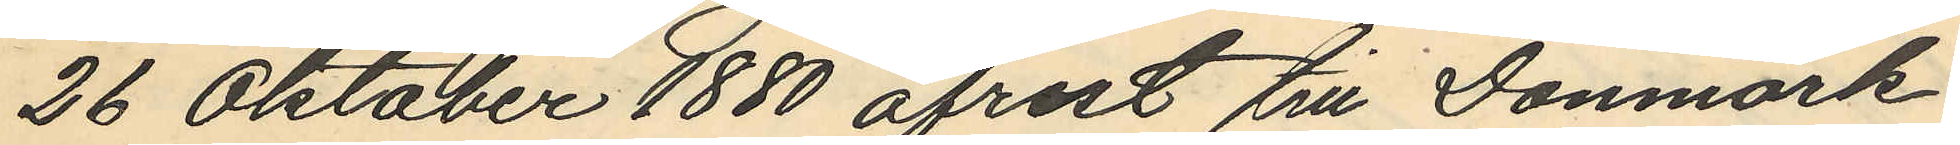26 Oktober 1880 afrest till Danmark
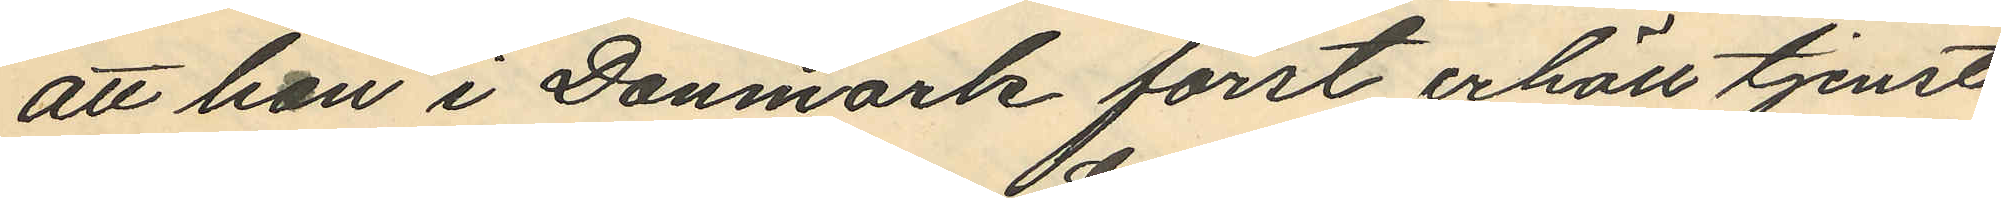att hon i Danmark först erhöll tjenst
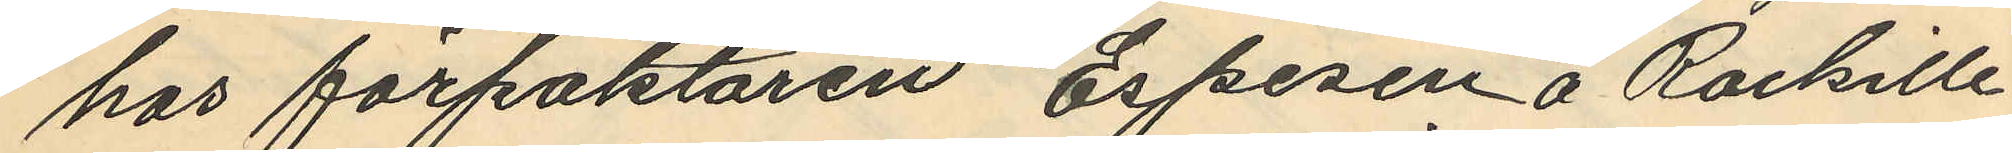hos förpaktaren Espesen å Rackille
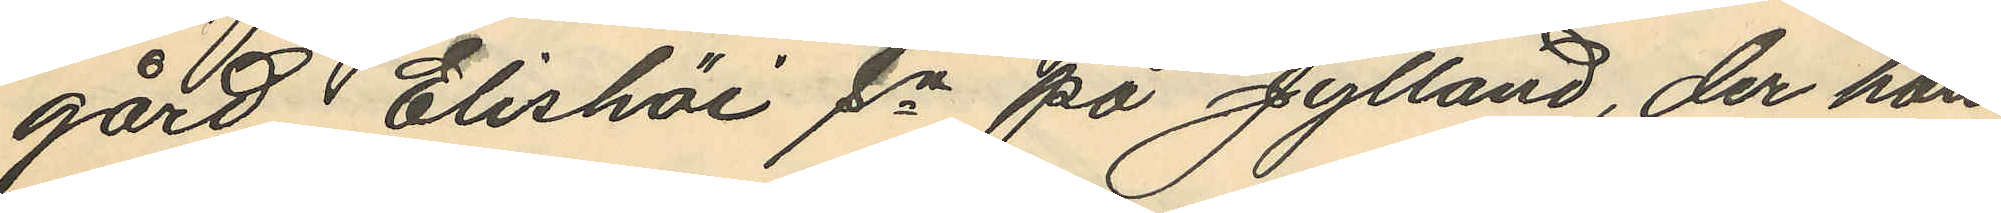gård Elishöi sn på Jylland, der hon
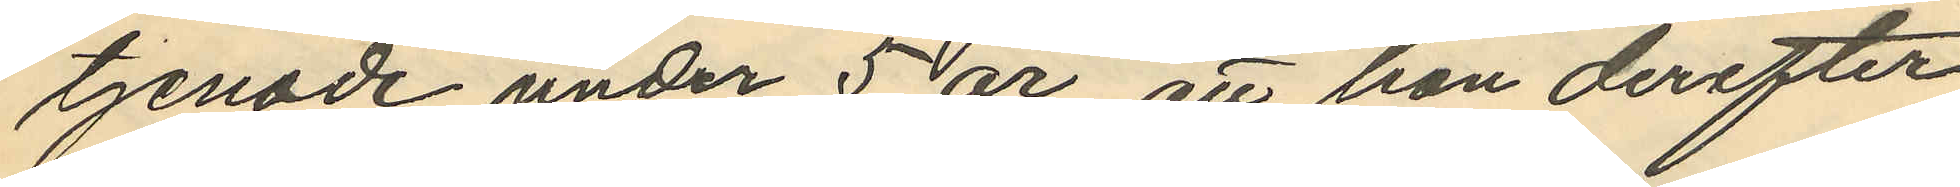tjenade under 5 år, att hon derefter
